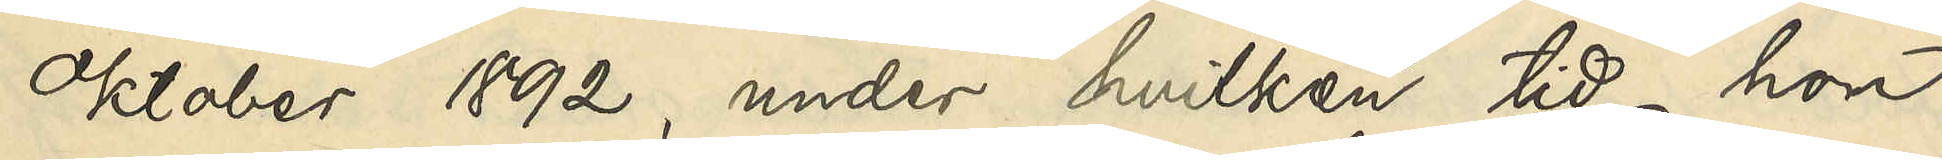Oktober 1892, under hvilken tid hon
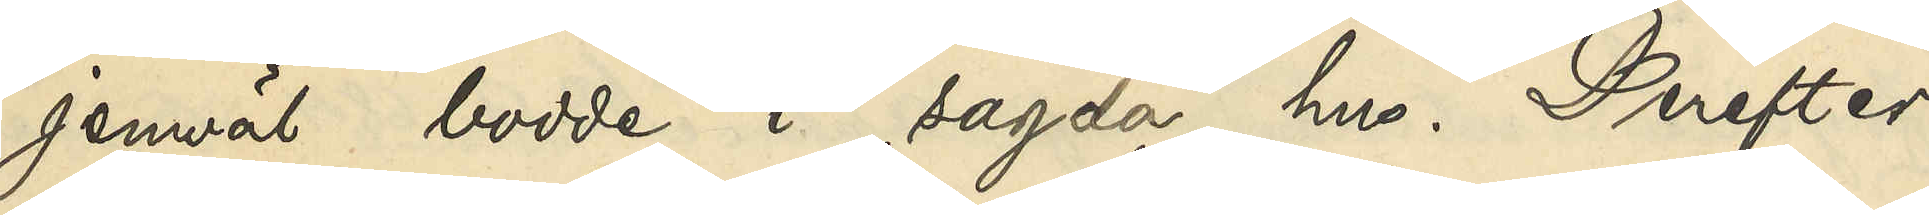jemväl bodde i sagda hus. Derefter
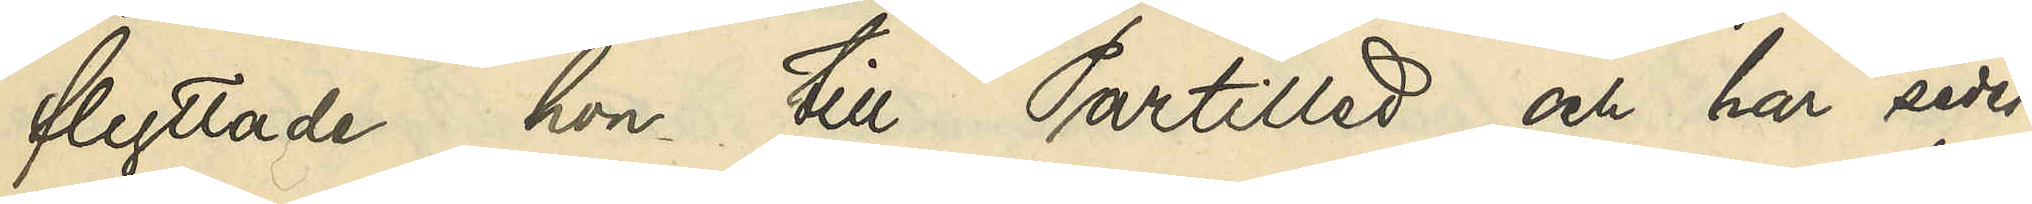flyttade hon till Partilled och har seder¬
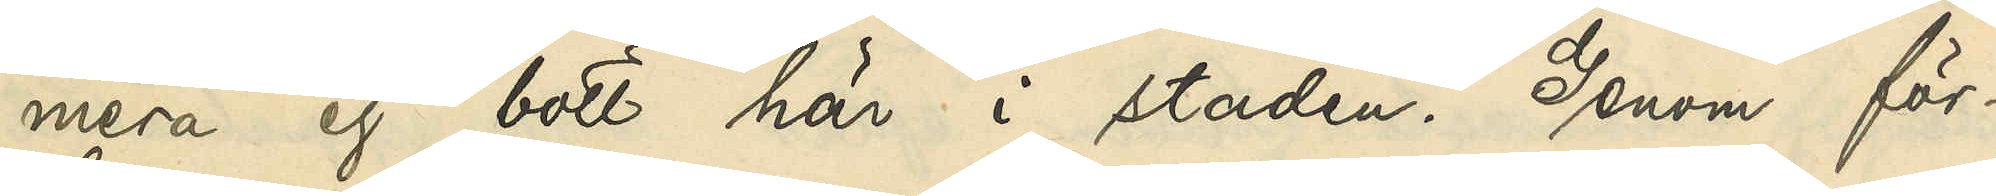mera ej bott här i staden. Genom för¬
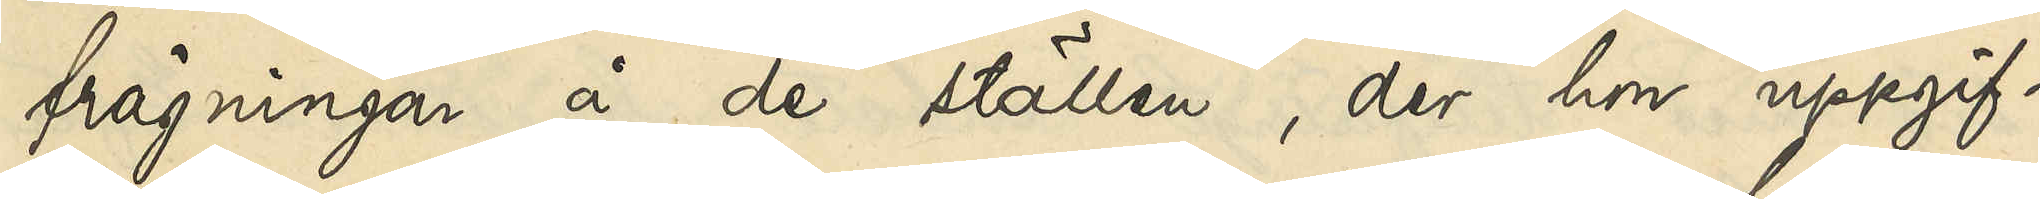frågningar å de ställen, der hon uppgif¬
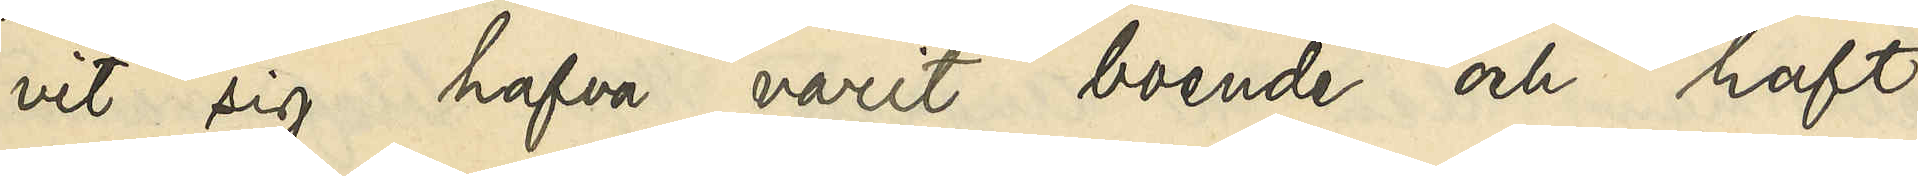vit sig hafva varit boende och haft
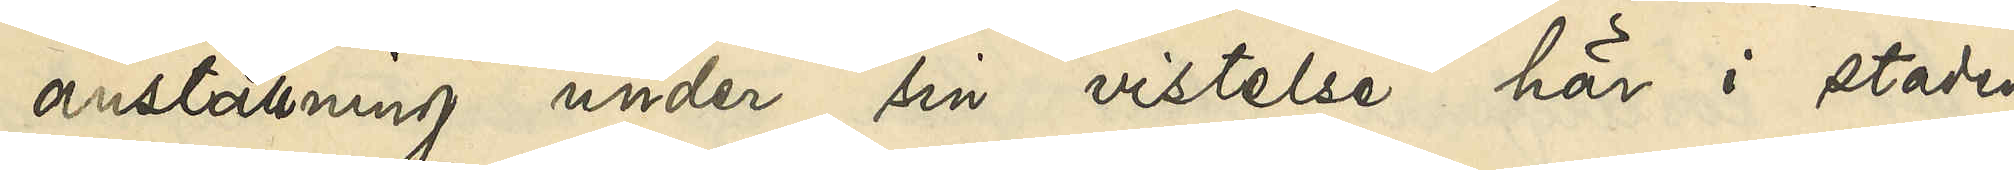anställning under sin vistelse här i staden,
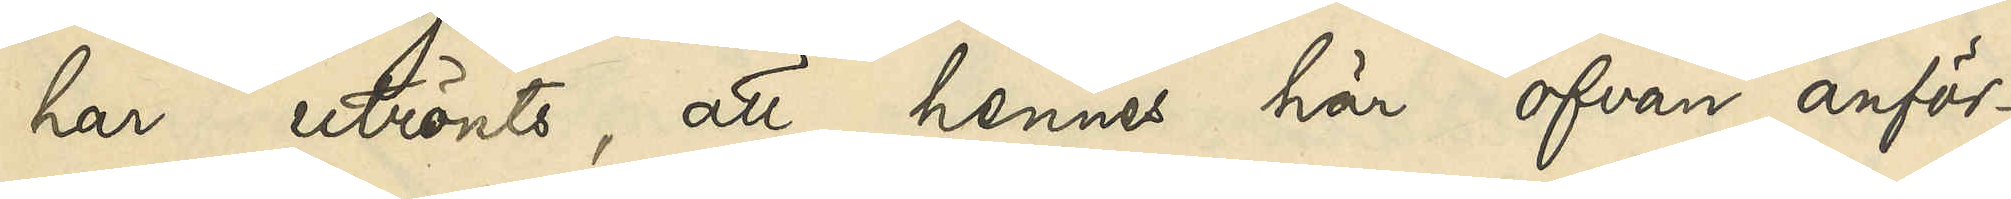har utrönts, att hennes här ofvan anför¬
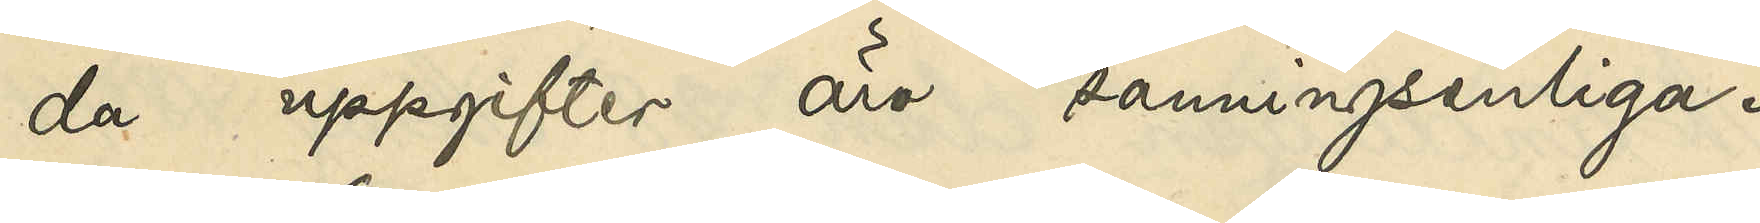da uppgifter äro sanningsenliga.
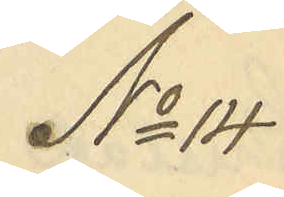No 14
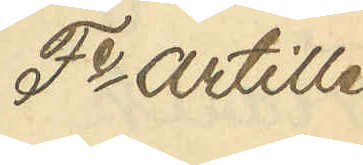Fe Artille¬
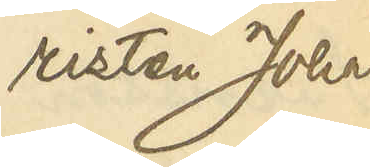risten Johan
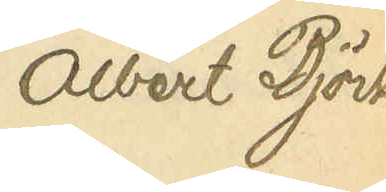Albert Björk
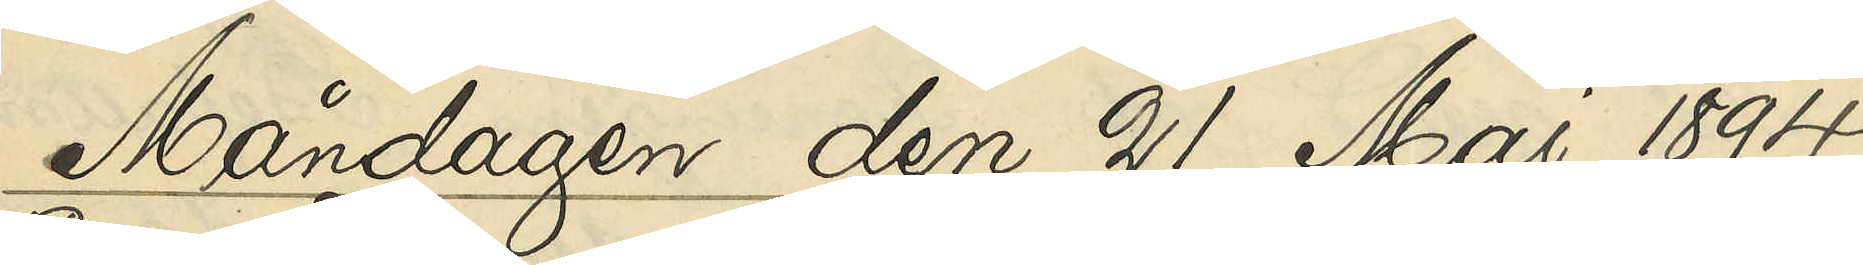Måndagen den 21 Maj 1894.
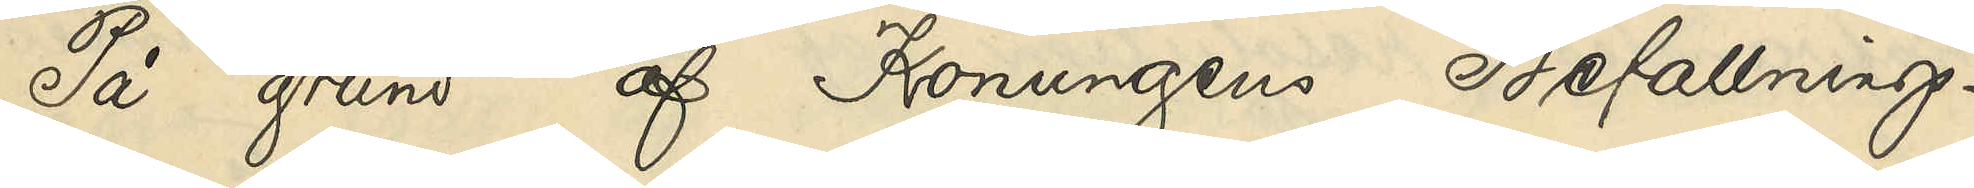På grund af Konungens Befallnings¬
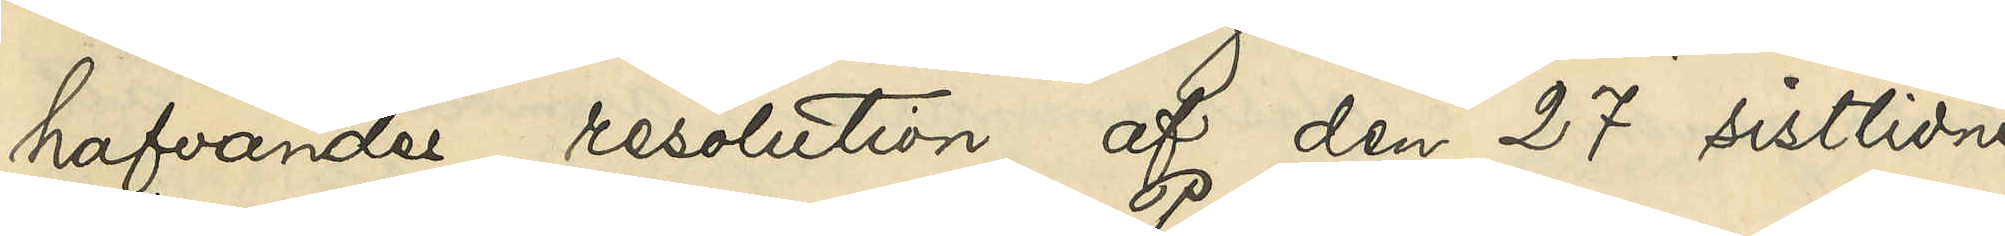hafvandes resolution af den 27 sistlidne
